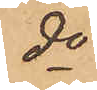do
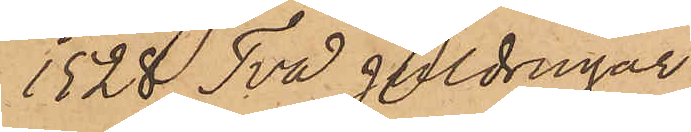1528 Två guldringar
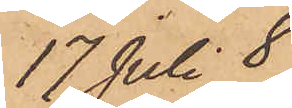17 Juli 8
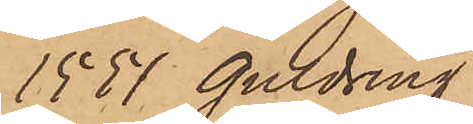1557 guldring
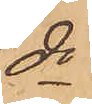do
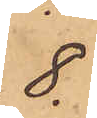8.
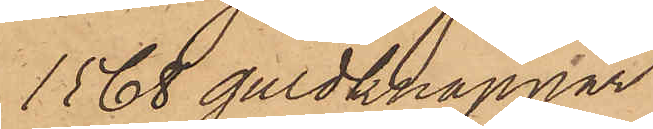1568 guldknappar
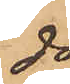do
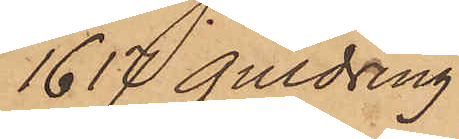1617 guldring
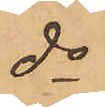do
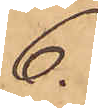6.
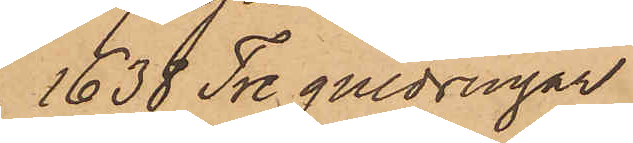1638 Tre guldringar
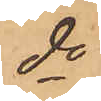do
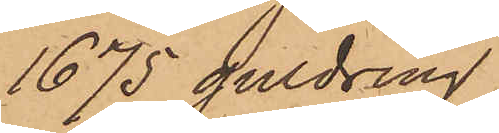1675 guldring
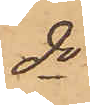do
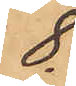8.
